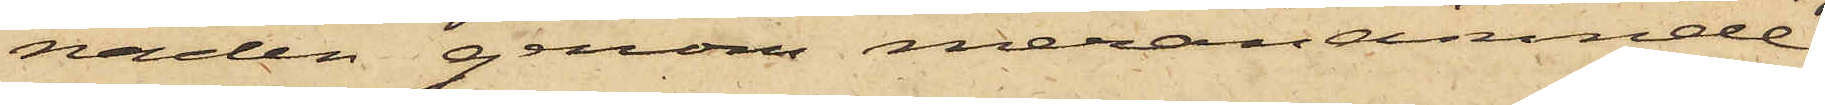naden genom meranämnde
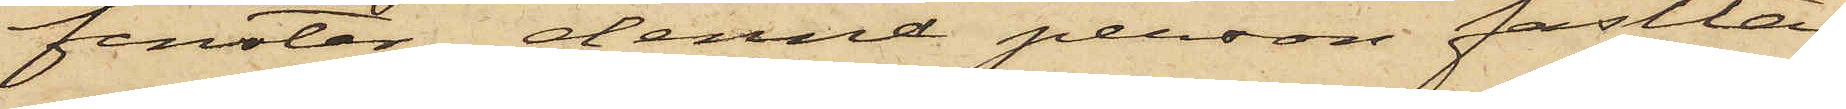fenster, denna person fastta¬
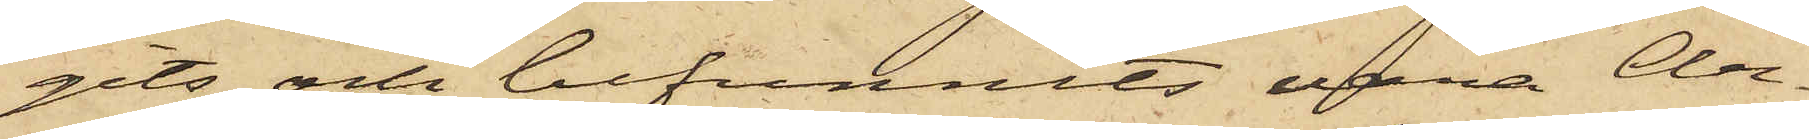gits och befunnits vara Ar¬
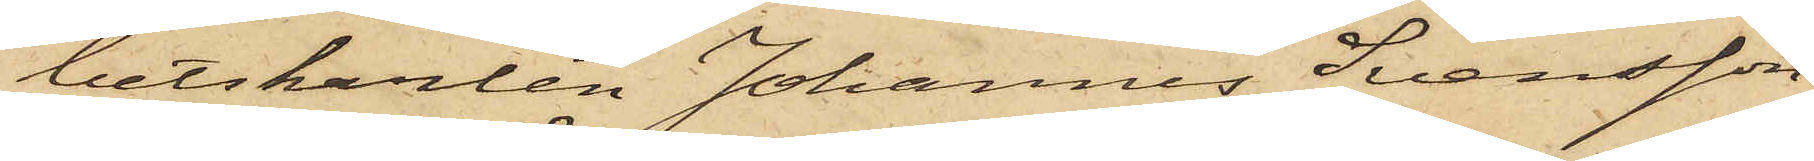betskarlen Johannes Svensson
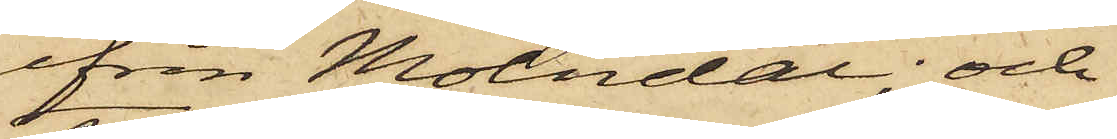ifrån Mölndal; och
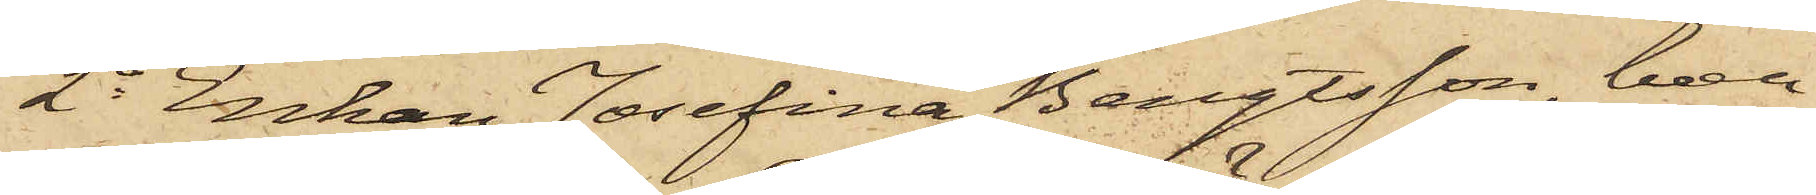2o Enkan, Josefina Bengtsson, boen¬
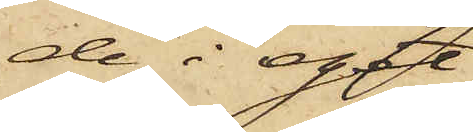de i eget
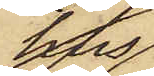hus
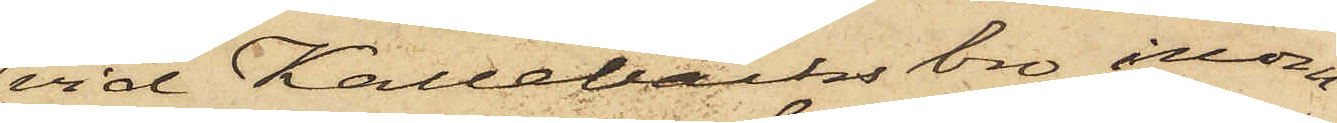vid Kallebäcks bro inom
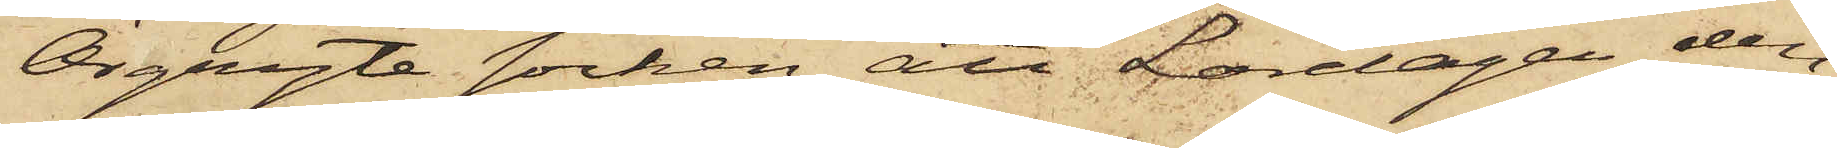Örgryte Socken, att Lördagen den
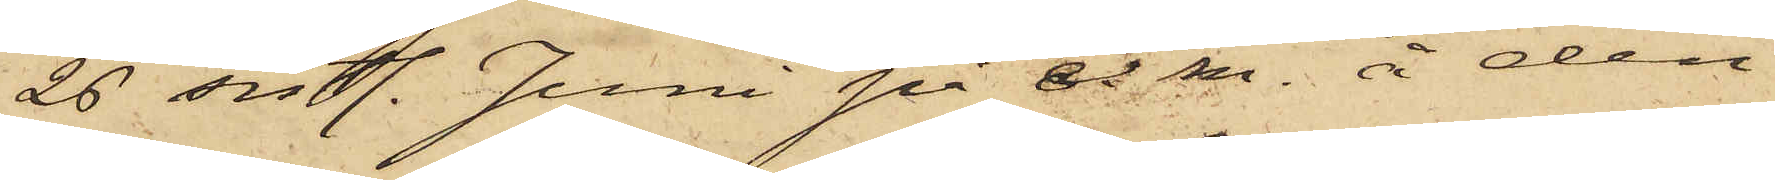26 sistl. Juni på e. m. å den
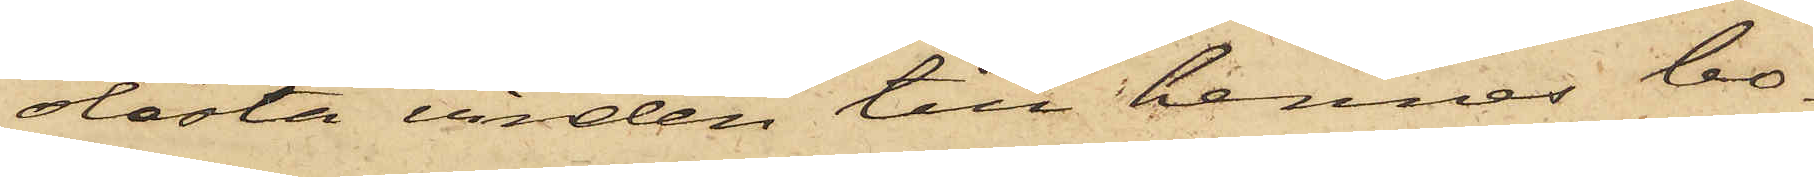olåsta vinden till hennes bo¬
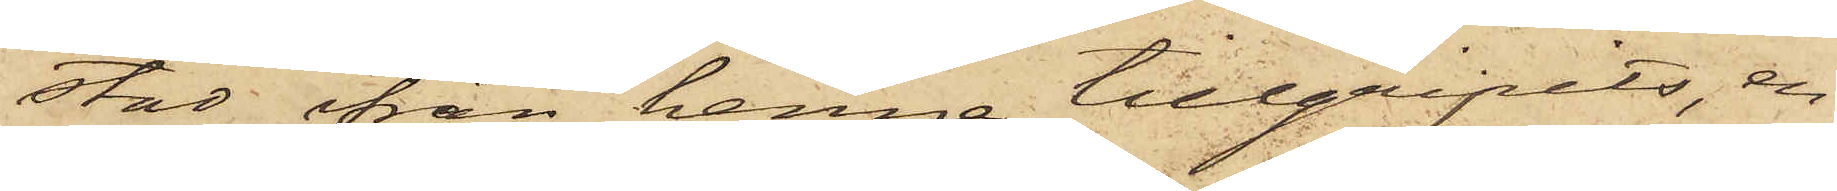stad från henne tillgripits, en
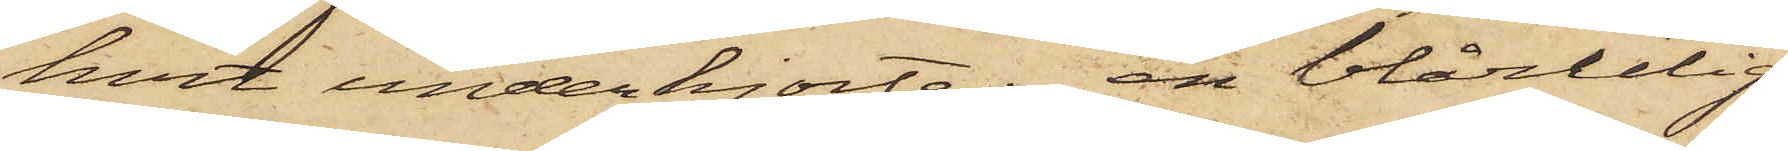hvit underskjorta, en blårutig
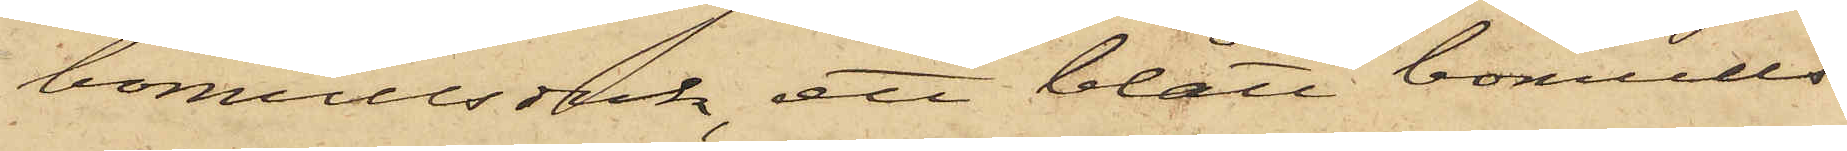bomullsduk, ett blått bomulls¬
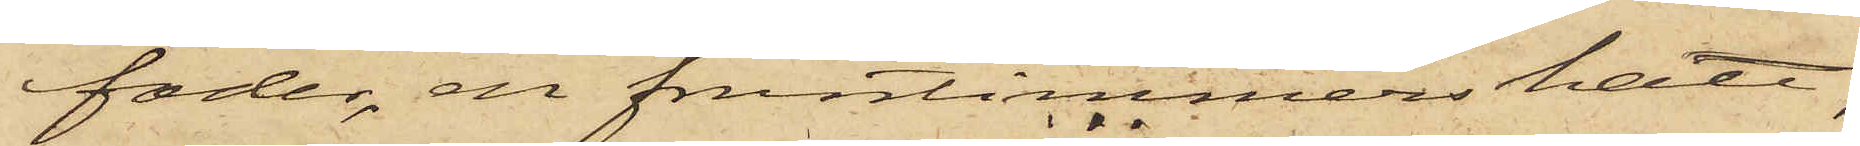foder, en fruntimmershatt,
